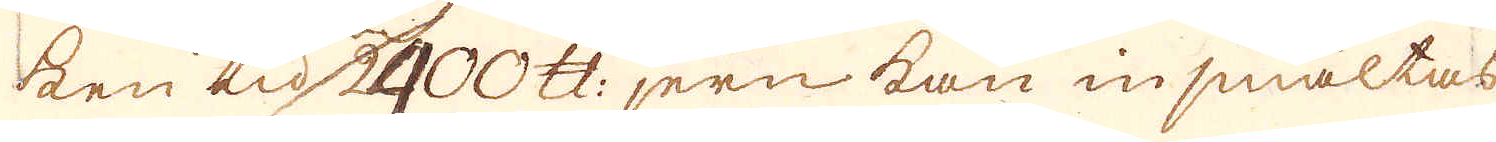ken tid 2400 skålpund jern kan insmältas
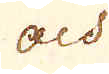och
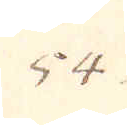54.
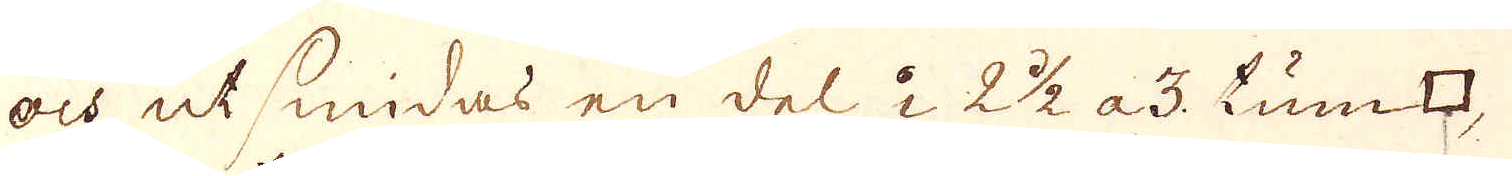och utsmidas en del i 2 1/2 a 3. tum □,
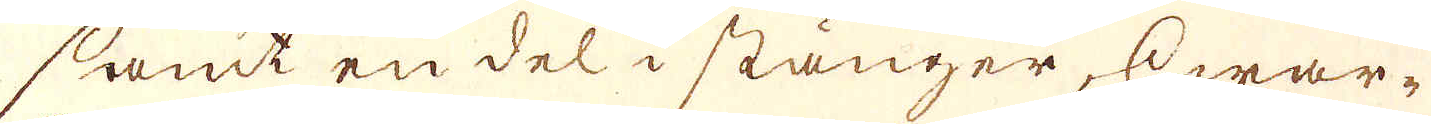samt en del i stänger, hwar-
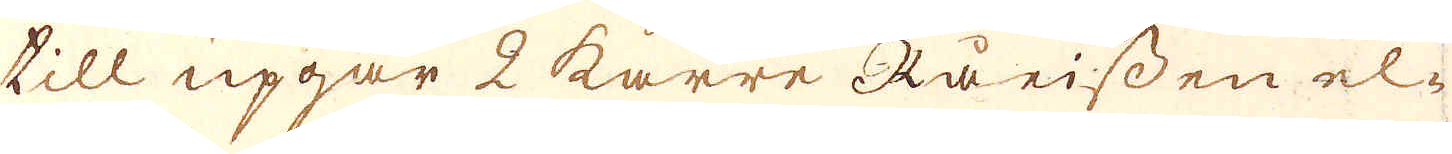till upgår 2 karre Rå eissen el-
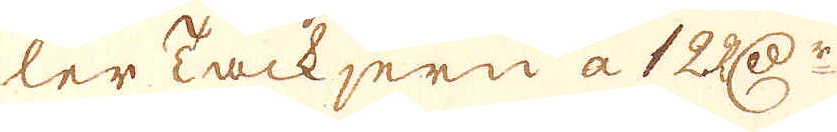ler Tackjern a 12 RD:r
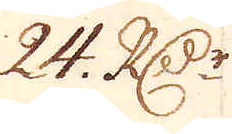24. R:Dr
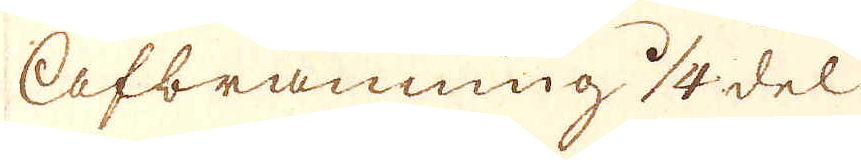Afbränning 1/4 del
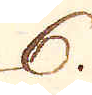6.
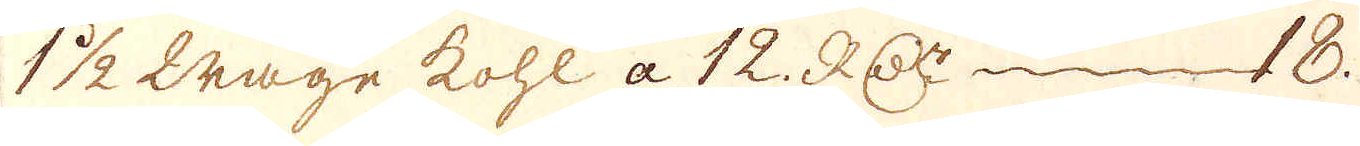1 1/2 wage kohl a 12. RD:r 18.
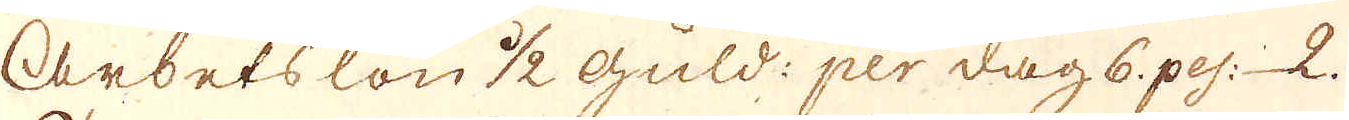Arbetslön 1/2 guld: per dag 6 pes: 2.
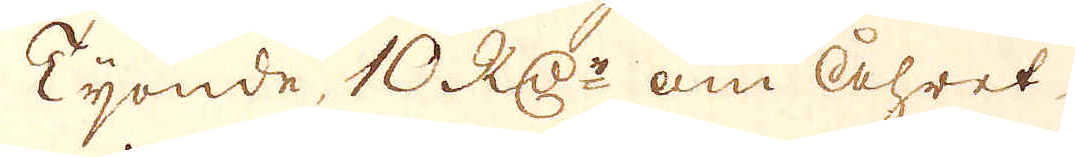Tyonde, 10 RD:r om Åhret
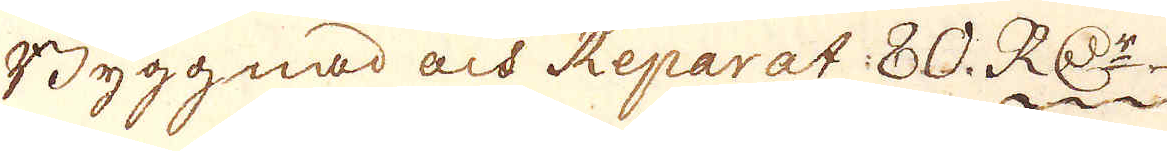Byggnad och Reparat 80. RD:r
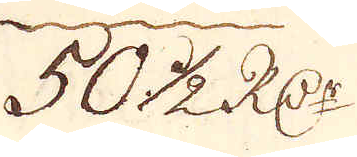50 1/2 R:Dr
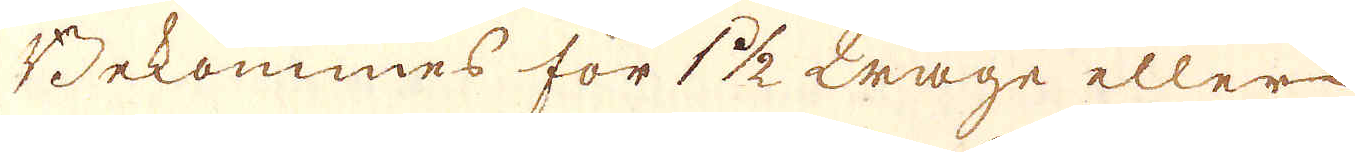Bekommes för 1 1/2 wage eller
